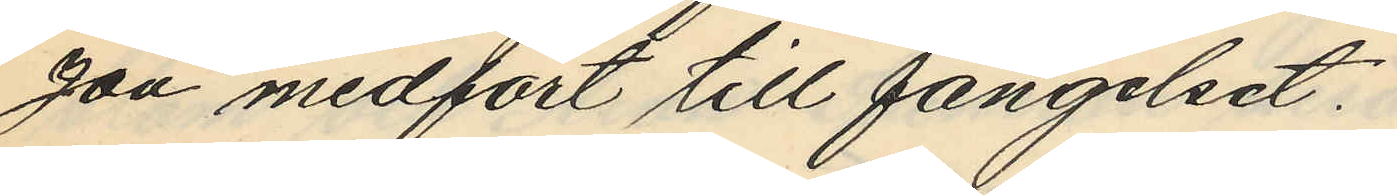zon medfört till fängelset.
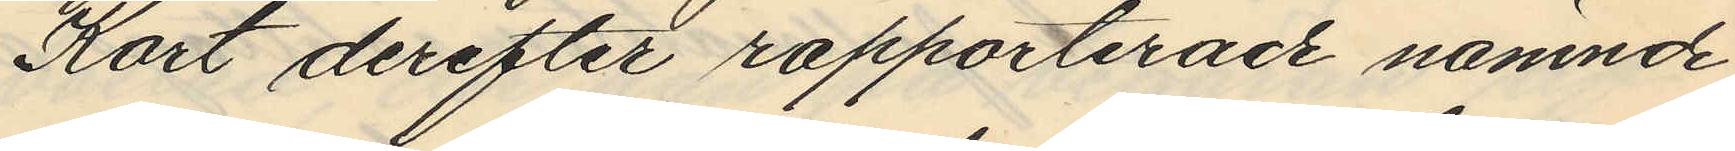Kort derefter rapporterade nämnde
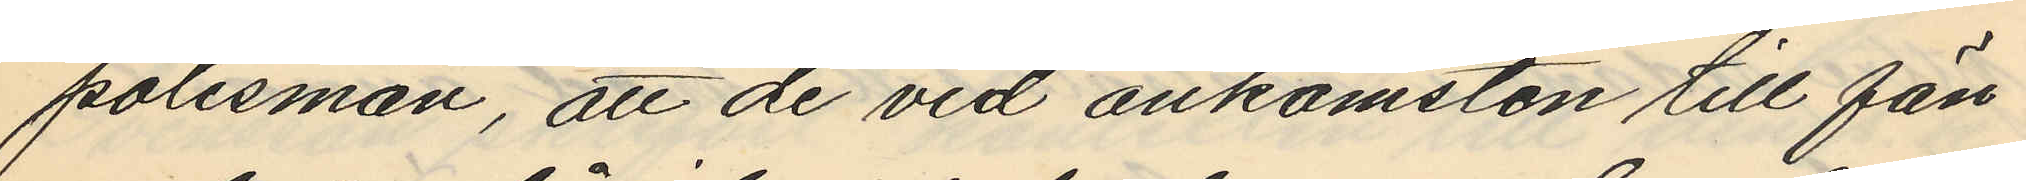polismän, att de vid ankomsten till fän¬
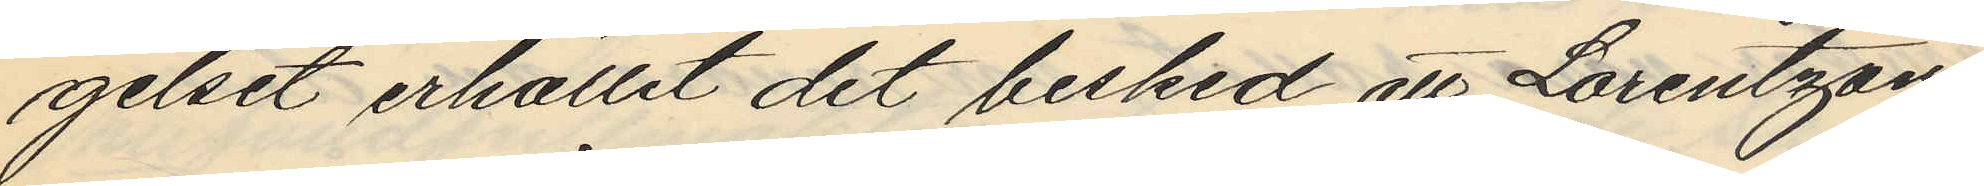gelset erhållit det besked, att Lorentzon
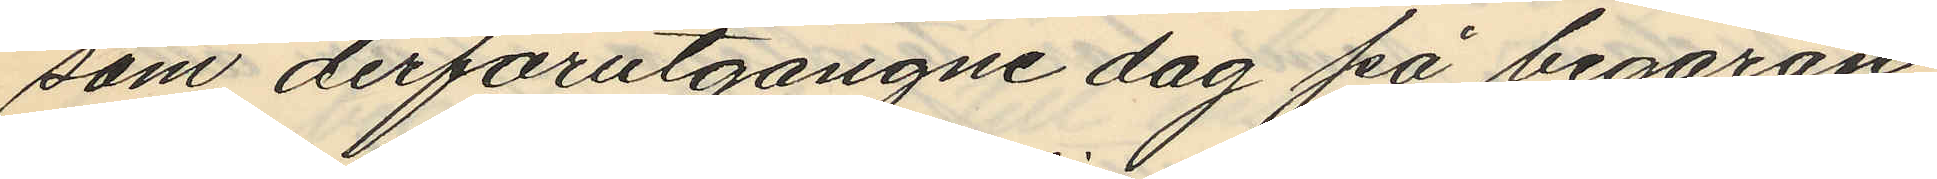som derförutgångne dag på begäran
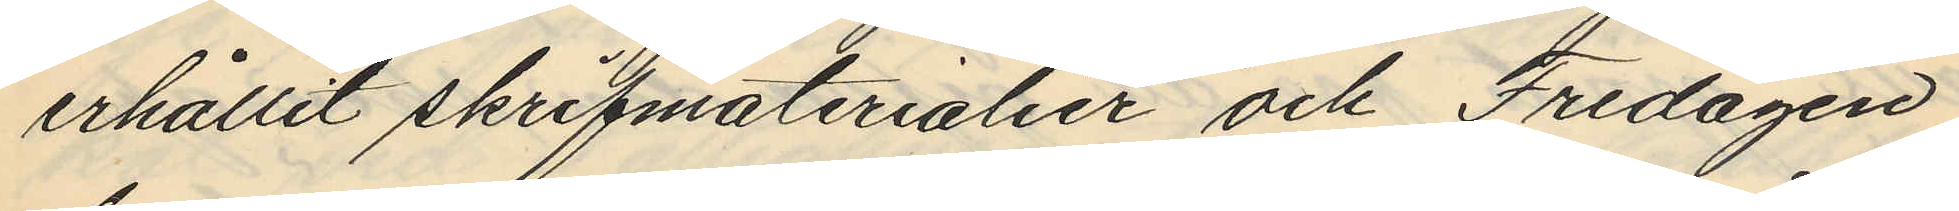erhållit skrifmaterialier och Fredagen
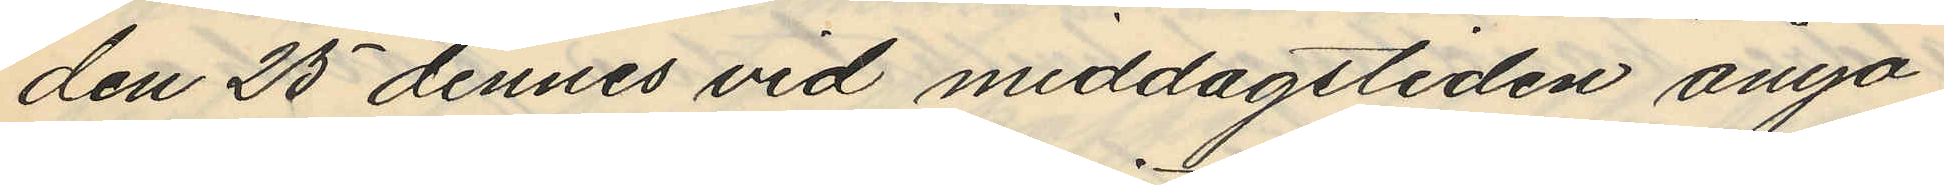den 25 dennes vid middagstiden ånyo
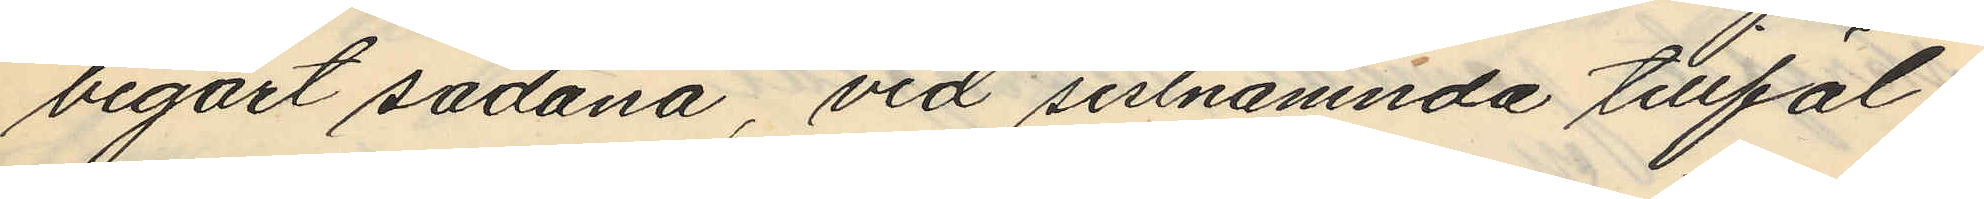begärt sådana, vid sistnämnda tillfäl¬
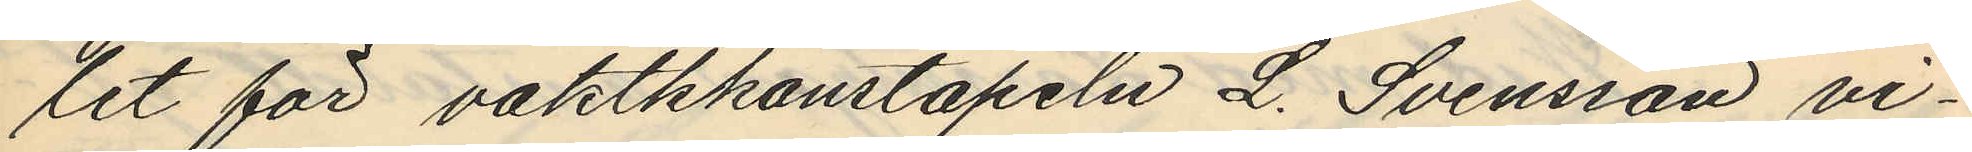let för vaktskonstapeln L. Svensson vi¬
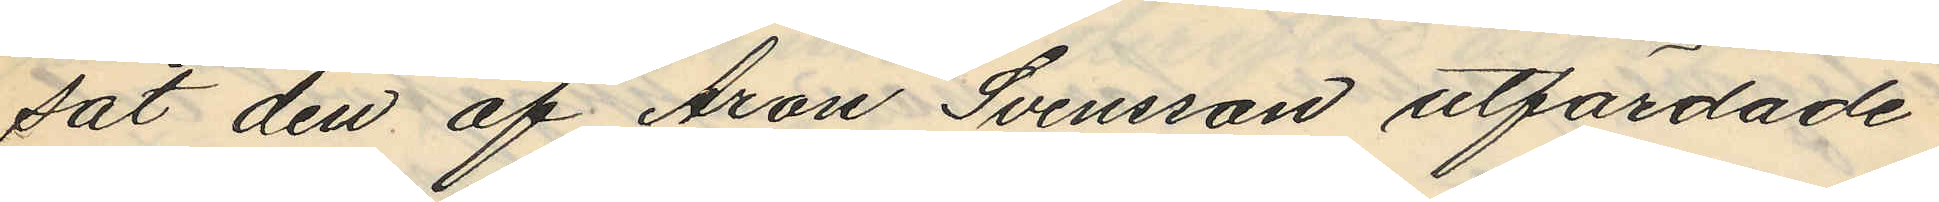tat den af Aron Svensson utfärdade
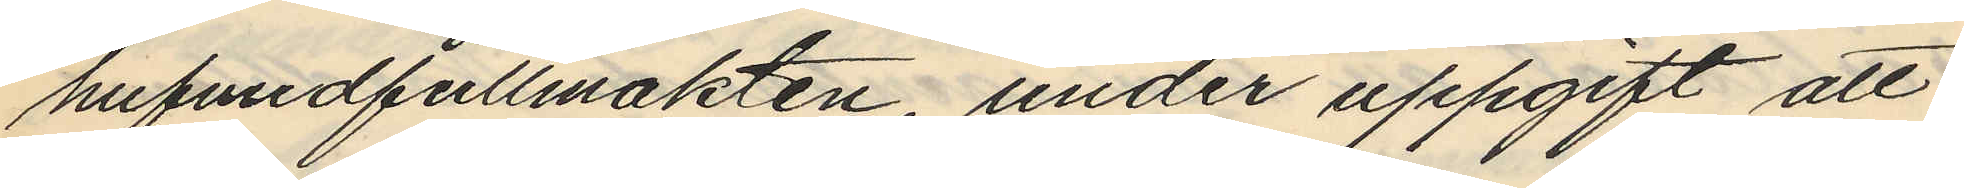hufvudfullmakten under uppgift att
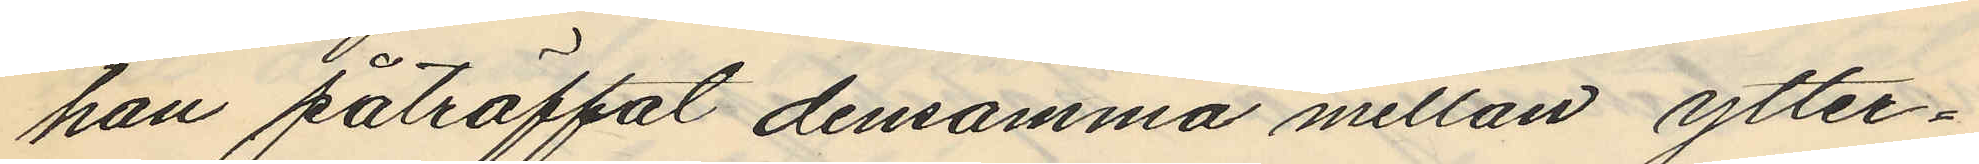han påträffat densamma mellan ytter¬
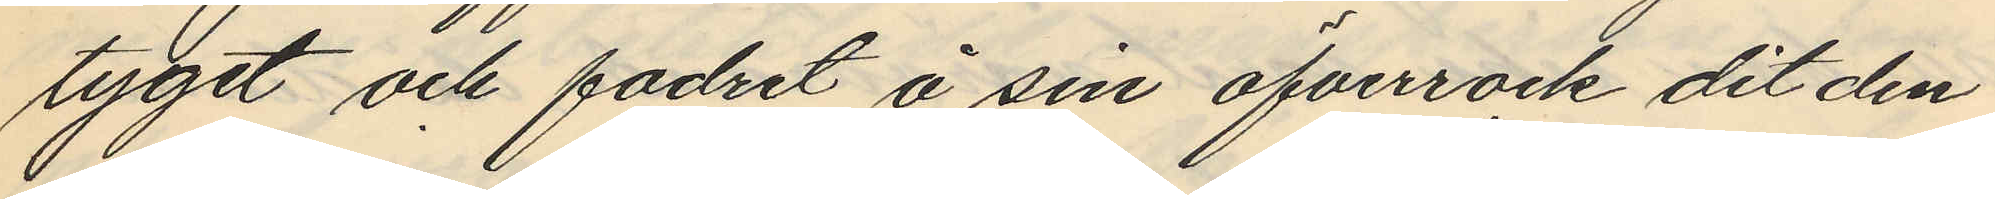tyget och fodret å sin öfverrock dit den
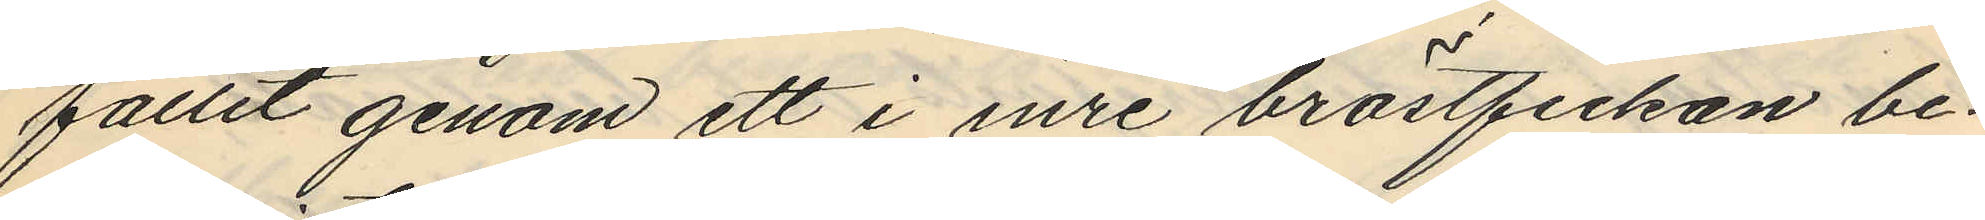fallit genom ett i inre bröstfickan be¬
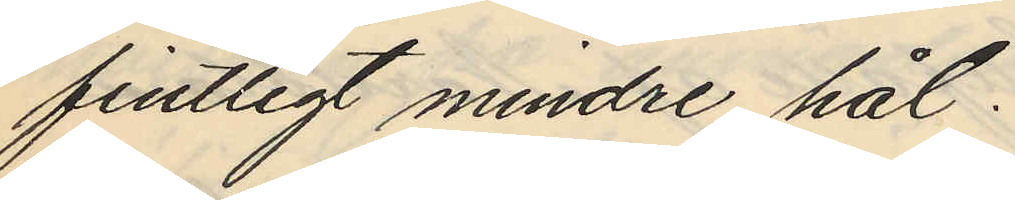fintligt mindre hål.
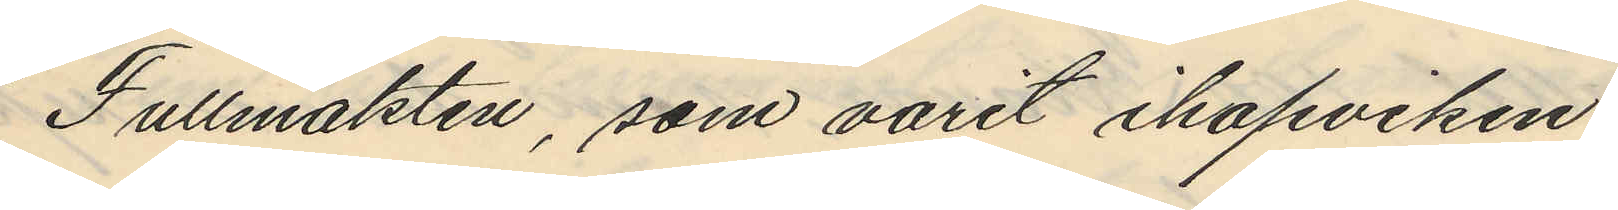Fullmakten, som varit ihopviken
